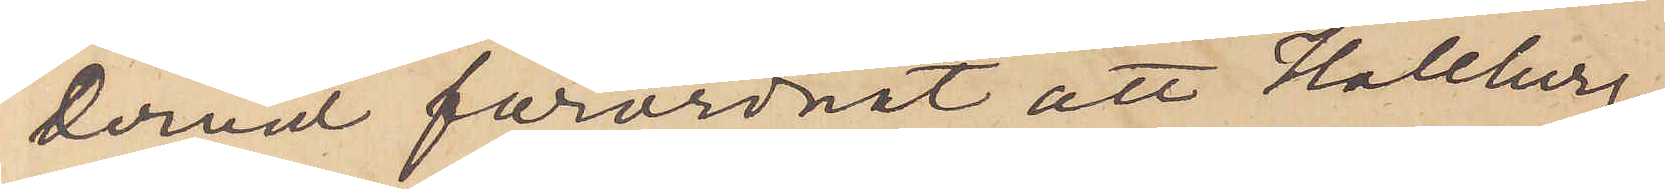derna förordnat att Hallberg
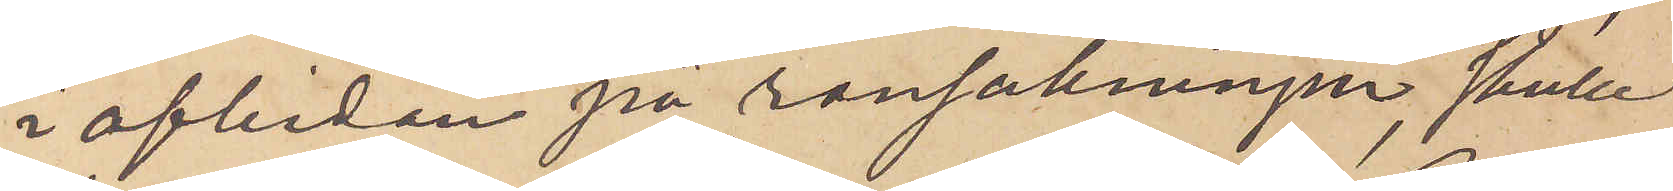i afbidan på ransakningen, skulle
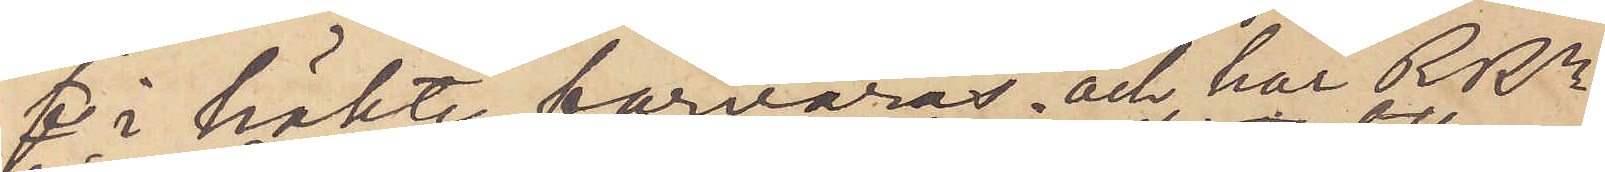 i häkte förvaras och har RRn
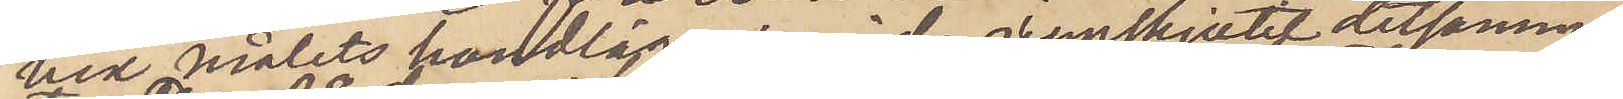vid målets handläggning idag uppskjutit detsamma
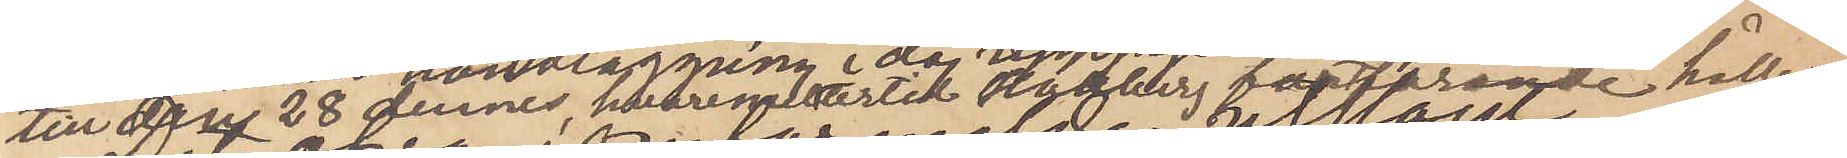till den 28 dennes, hvarom hertill Hallberg fortfarande hålles
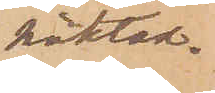häktad.
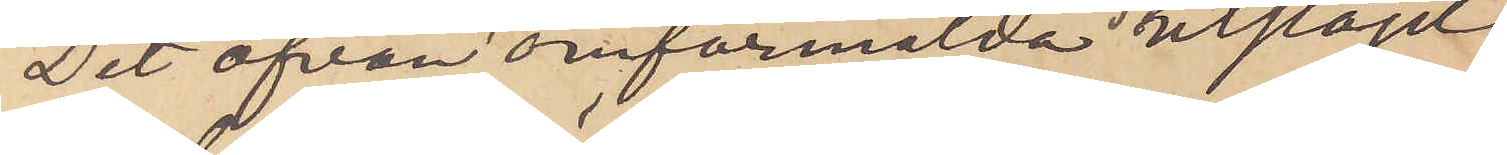Det ofvan omförmälda utslaget
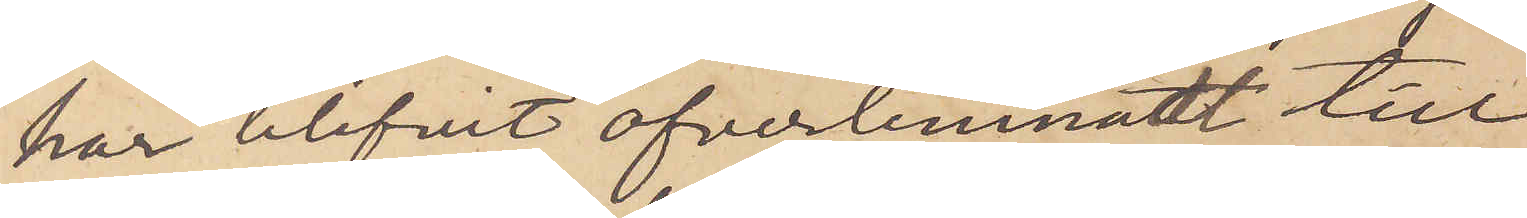har blifvit öfverlemnat till
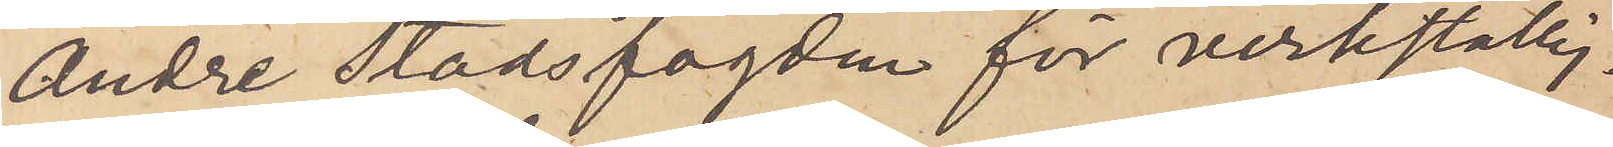Andre Stadsfogden för verkställig¬
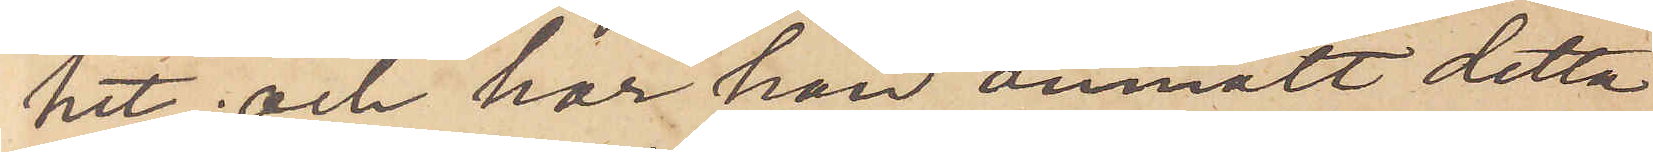het; och har han anmält detta
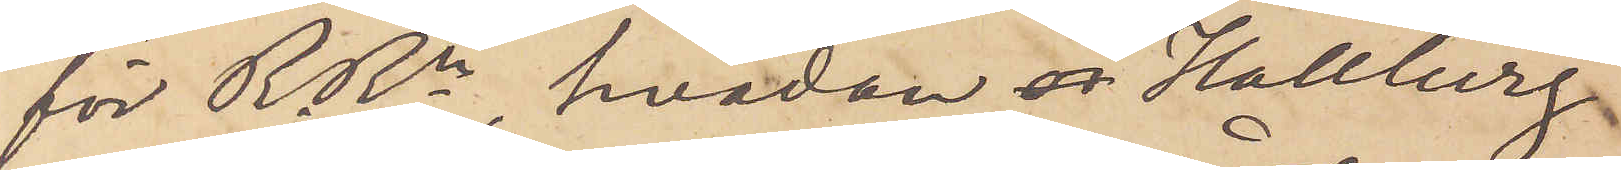för RRn, hvadan Hallberg
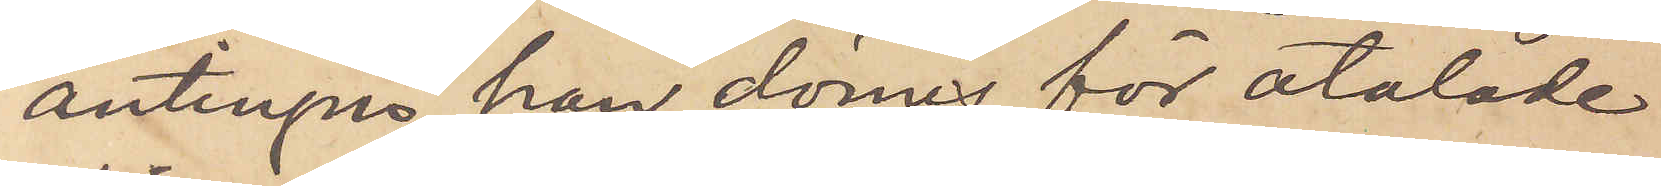antingen han dömes för åtalade
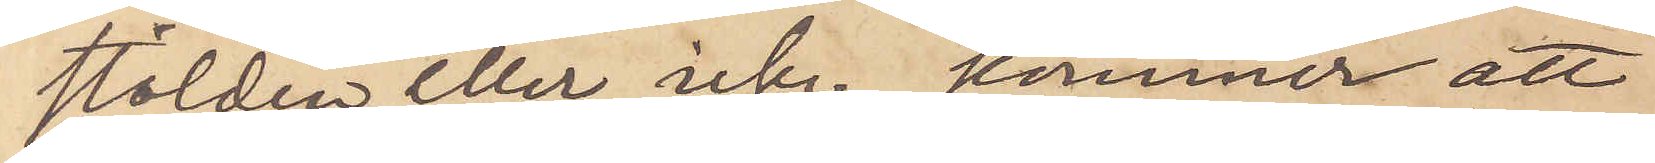stölden eller icke, kommer att
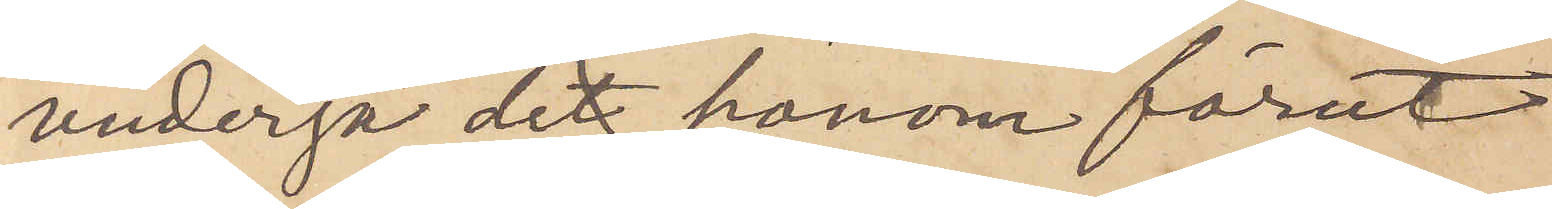undergå de honom förut
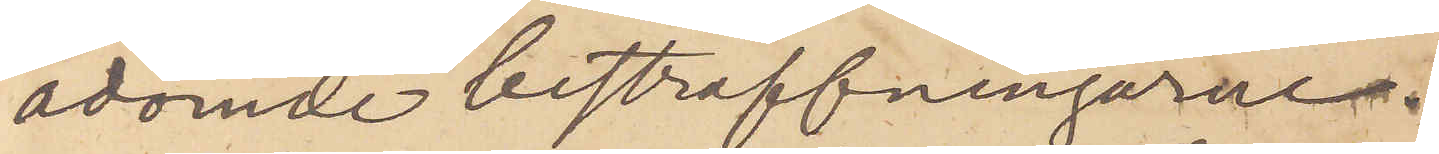ådömde bestraffningarne.
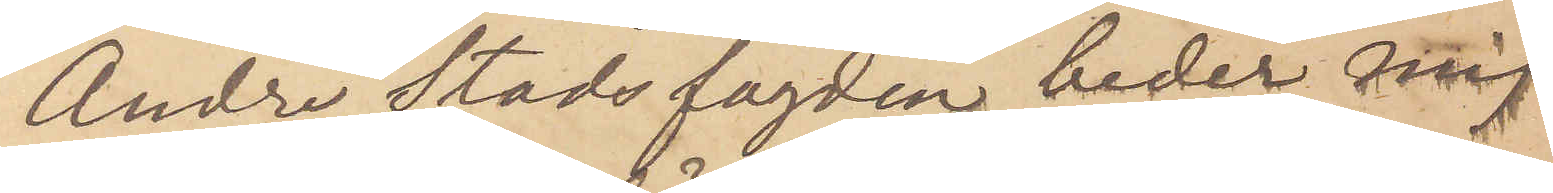Andre Stadsfogden beder mig
